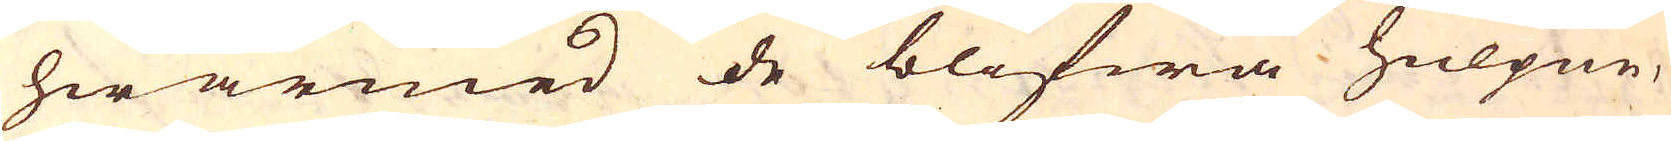hwarmed de blifwa hulpne,
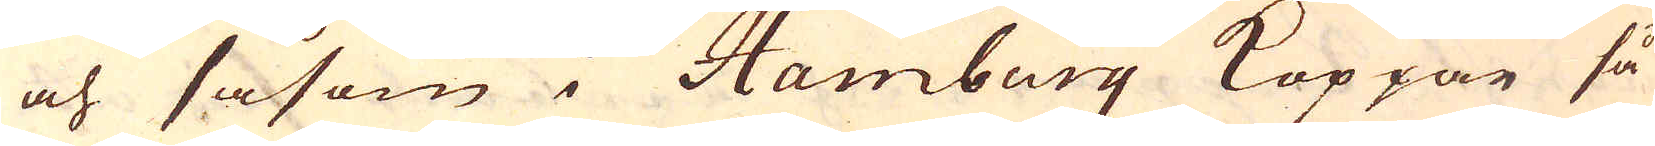och såsom i Hamburg Koppar så
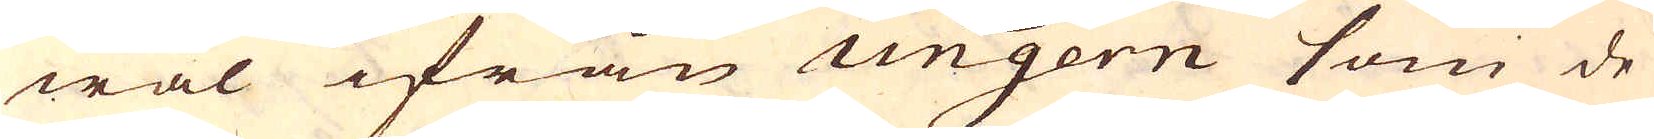wäl ifrån Ungern som de
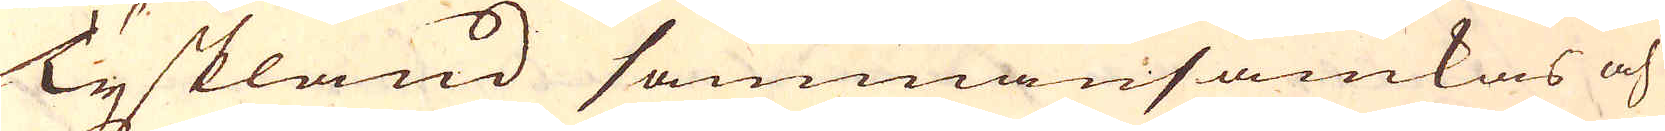Tyskland sammansamkas och
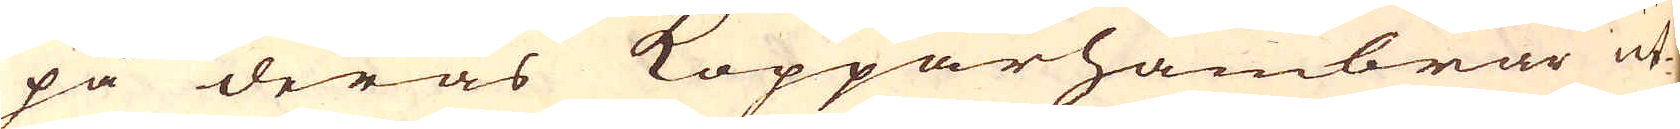på deras Kopparhambrar ut-
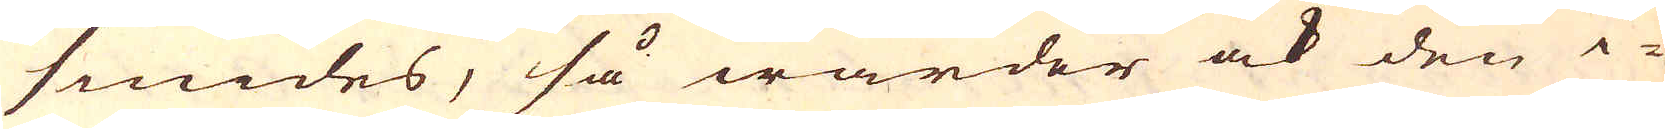smides, så warder ock den i-
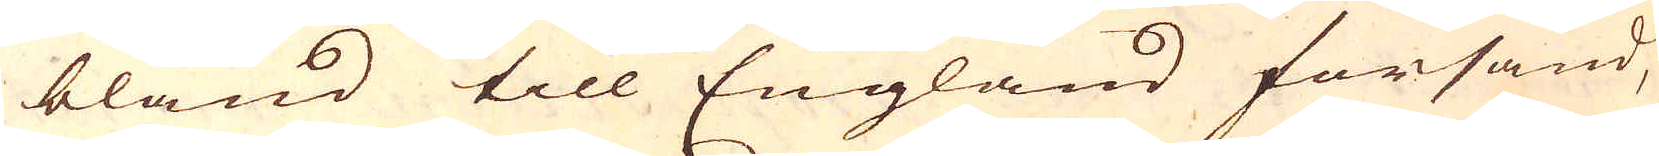bland till England försänd,
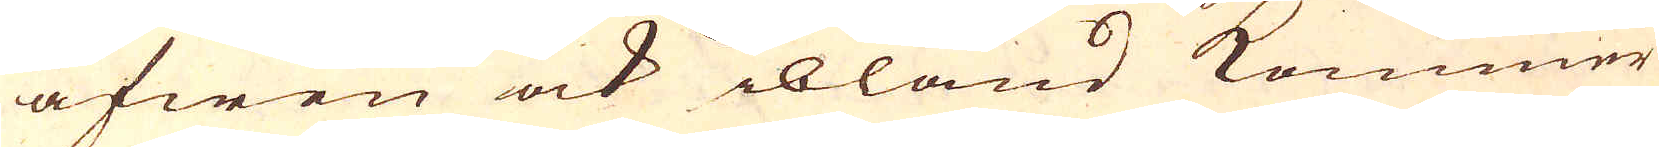äfwen ock ibland kommer
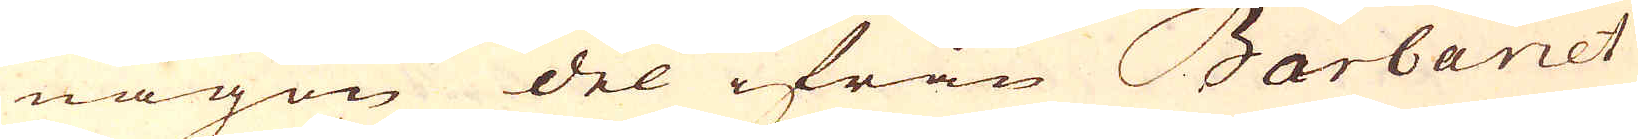någon del ifrån Barbariet
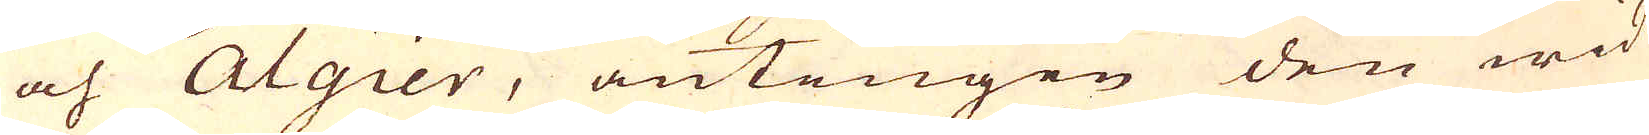och Algier, antingen den wid
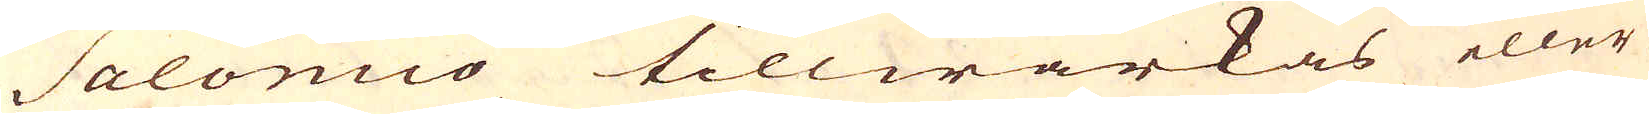Salomco tillwärkas eller
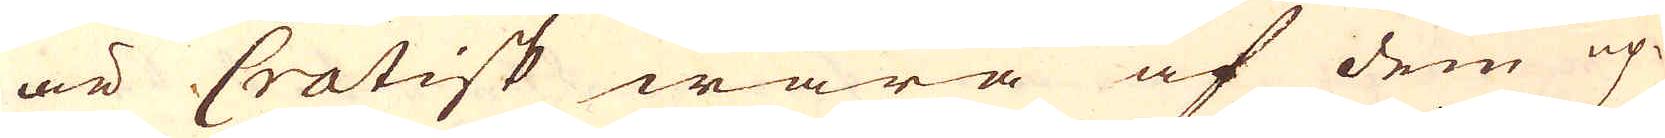är Cratisk wara af dem up-
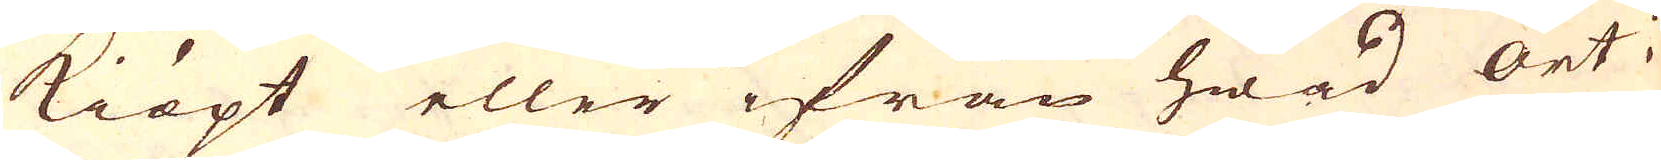kiöpt eller ifrån hwad ort i
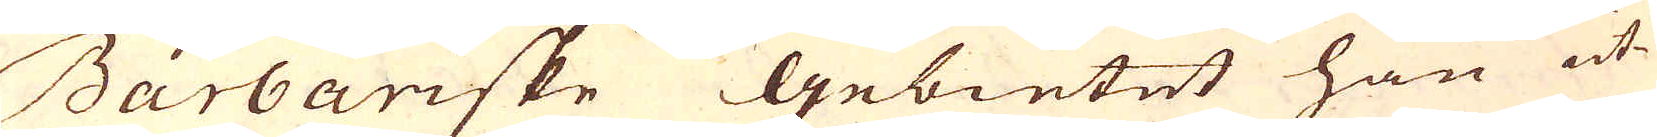Barbariske Gebietet han ut-
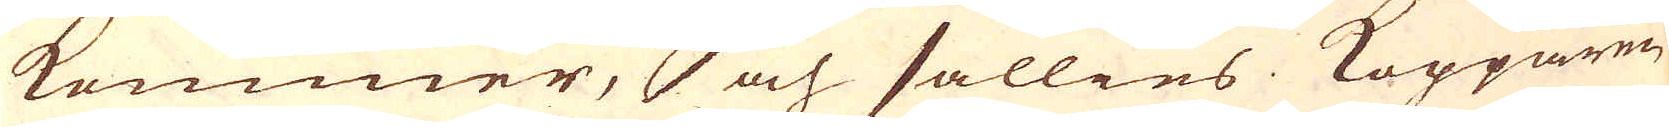kommer, och sällies. Kopparen,
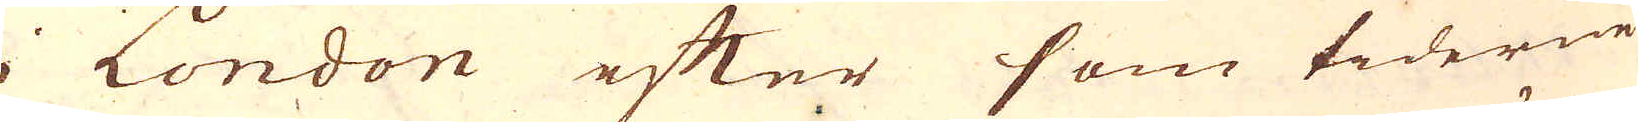i London efter som tiderne
